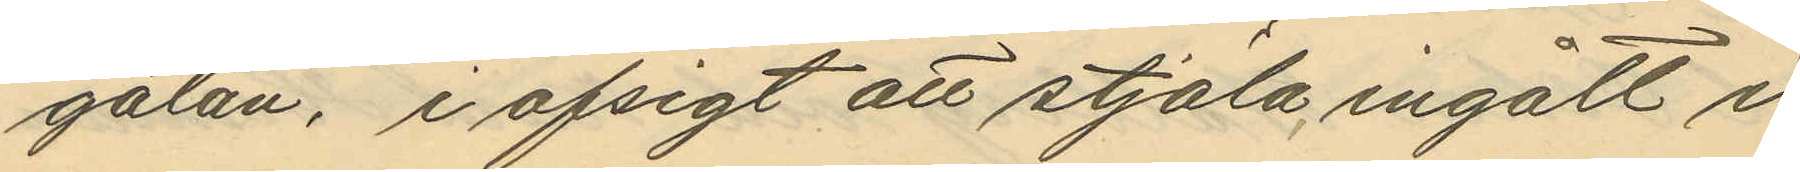gatan, i afsigt att stjäla ingått i
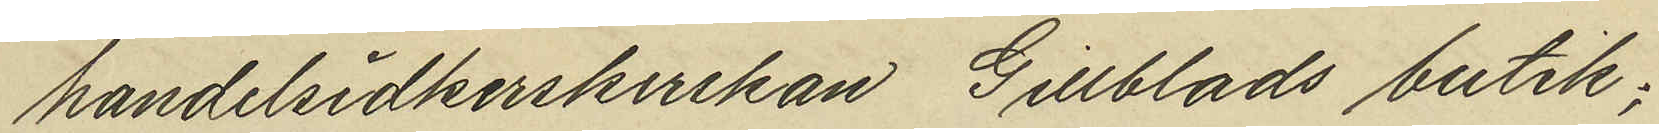handelsidkerskerskan Gillblads butik;
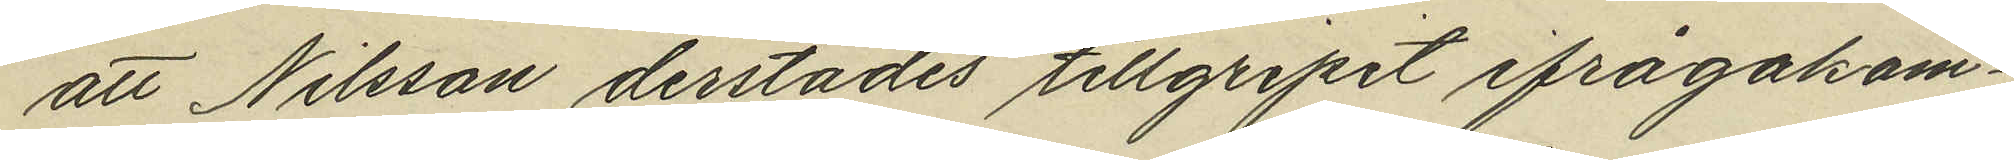att Nilsson derstädes tillgripit ifrågakom¬
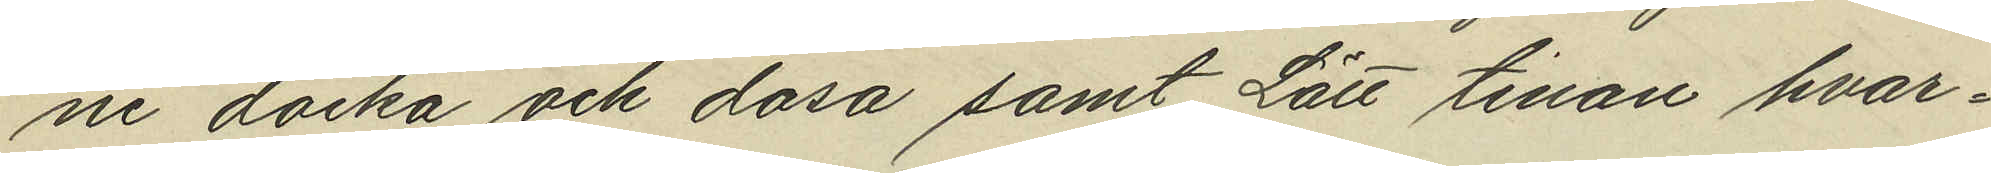ne docka och dosa samt Lätt tinan hvar¬
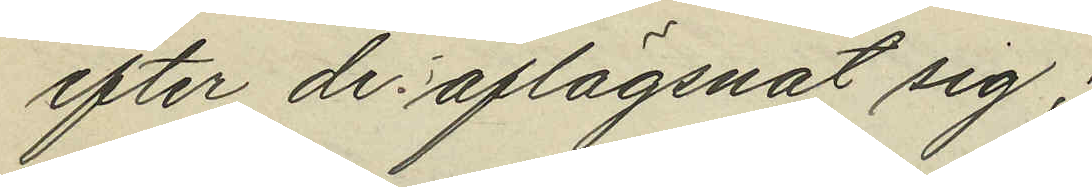efter de aflägsnat sig;
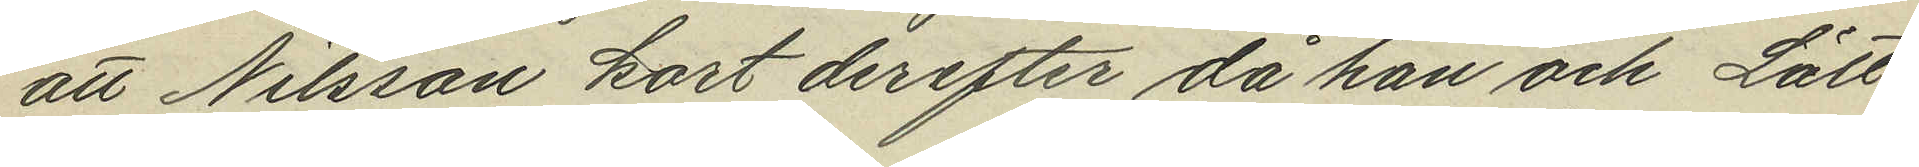att Nilsson kort derefter då han och Lätt
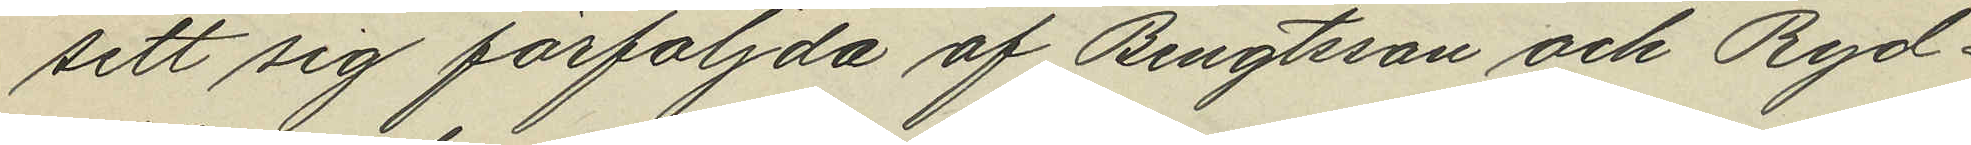sett sig förföljda af Bengtsson och Ryd¬
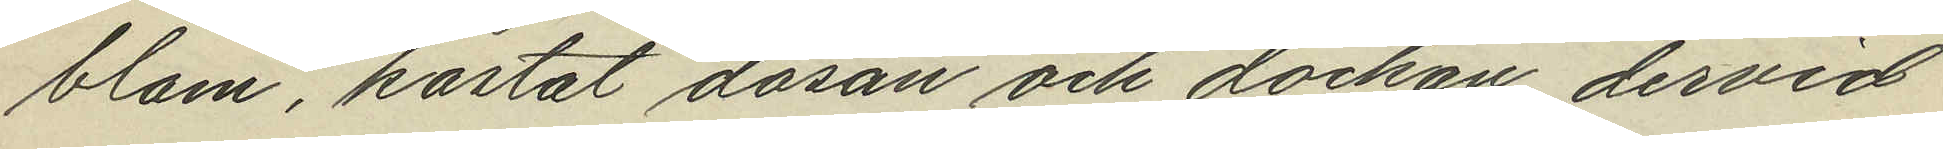blom, kastat dosan och dockan dervid
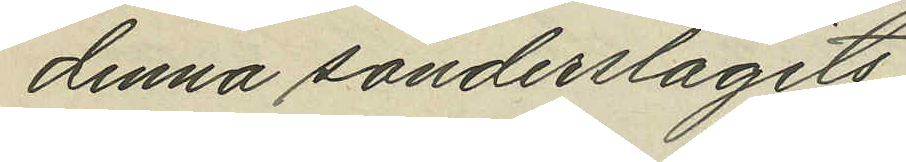denna sönderslagits;
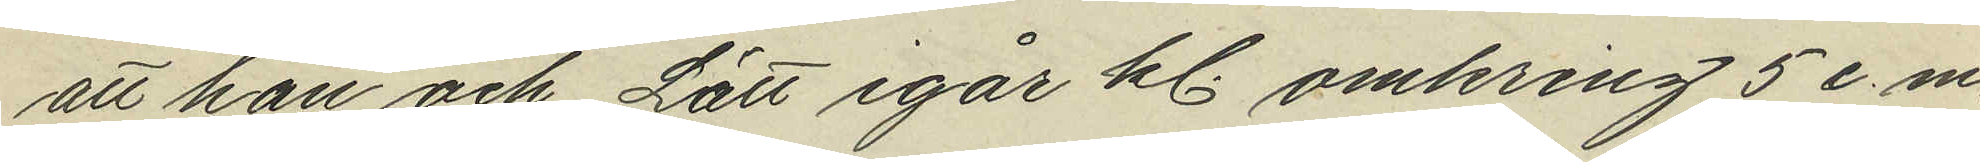att han och Lätt igår kl. omkring 5 e.m.
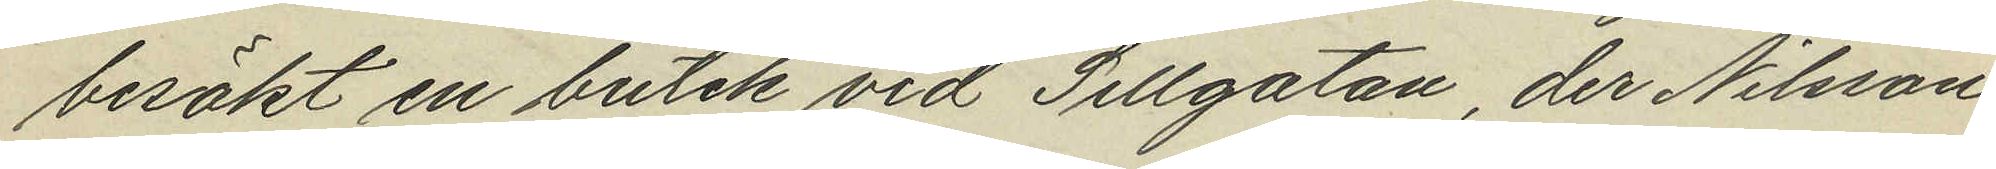besökt en butik vid Sillgatan, der Nilsson
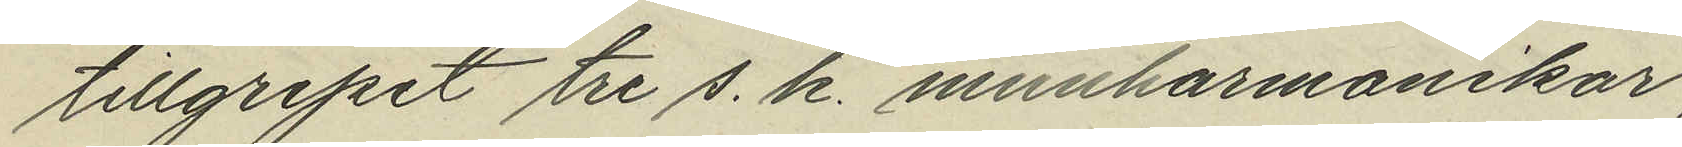tillgripit tre s. k. munharmonikor,
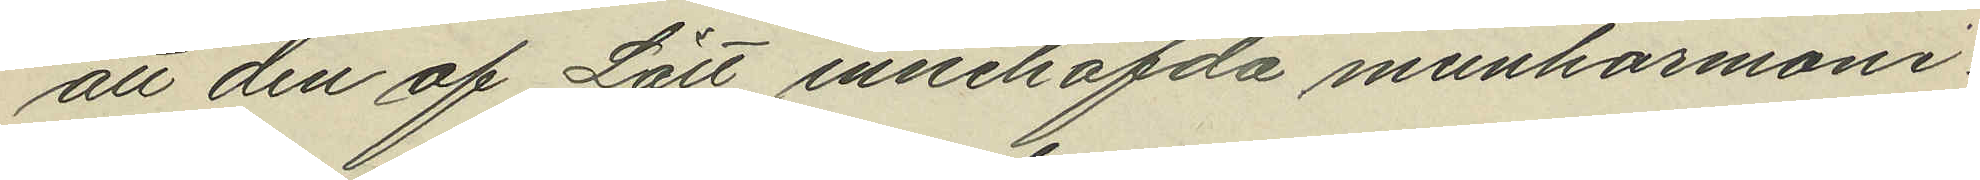att den af Lätt innehafda munharmoni¬
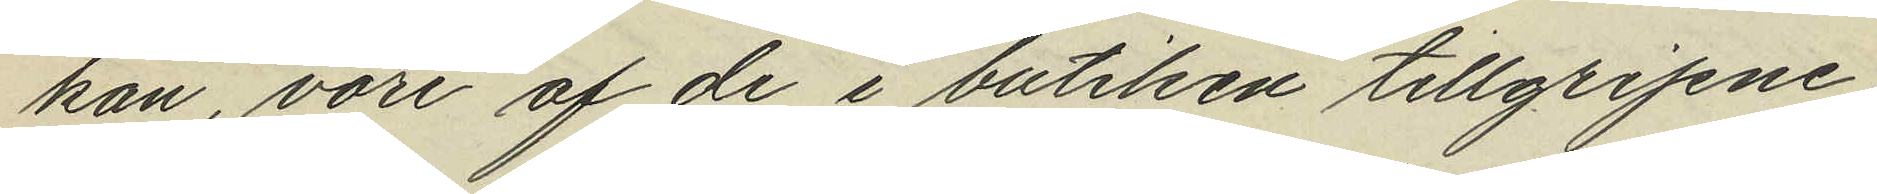kan, vore af de i butiken tillgripne
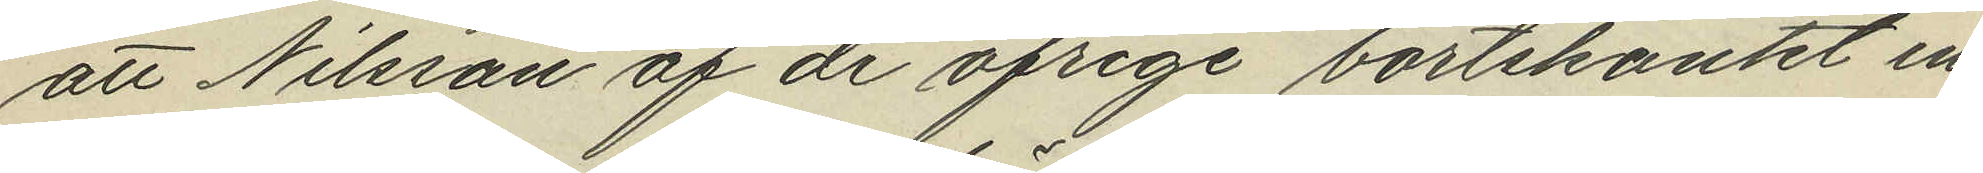att Nilsson af de öfrige bortskänkt en
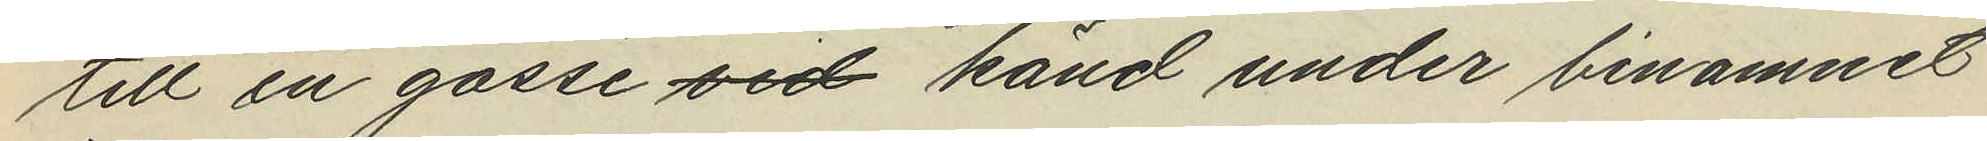till en gosse känd under binamnet
